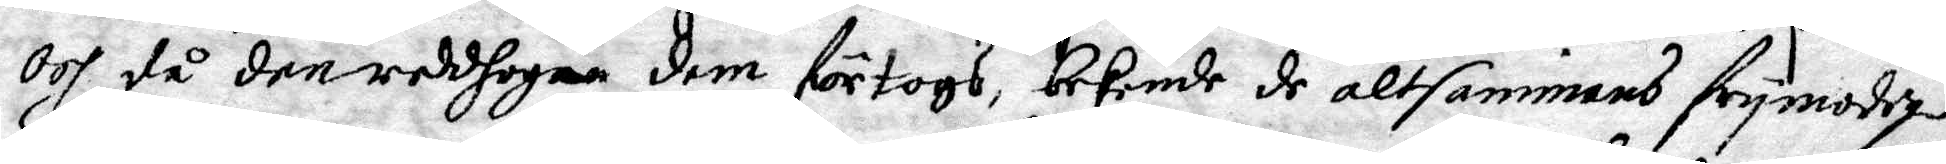Och då den reddhogan dem förtogs bekende de altsammans frymodige
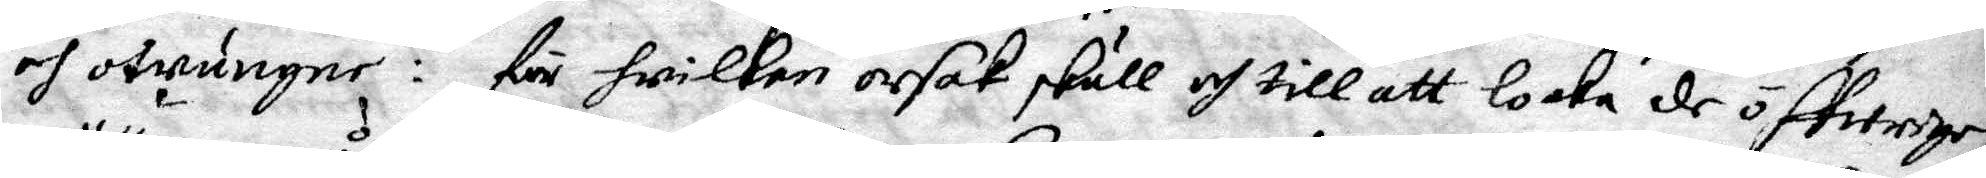och otwungne: för hwilken oesak skull och till att locka de öffwrige,
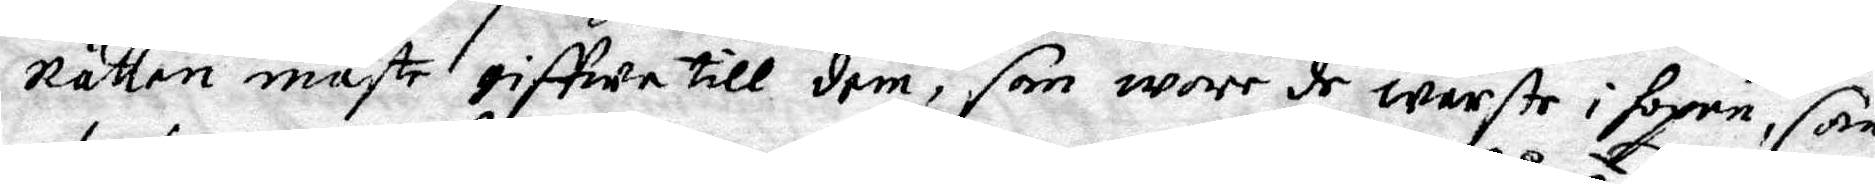Rätten måste giffwa till dem, som wore de wärste i hopen, som
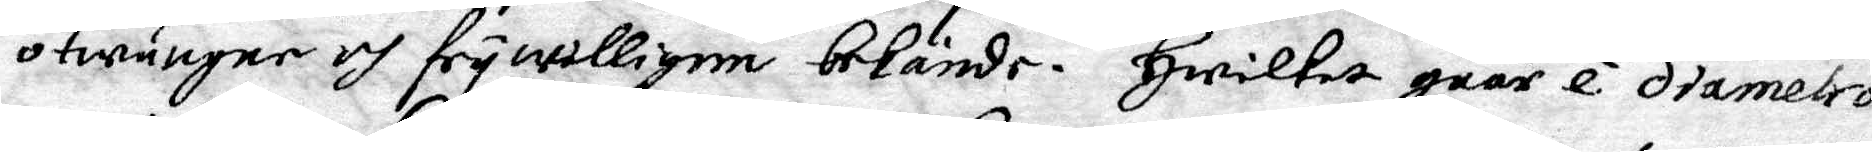otwungne och frywilligen bekände. Hwilket gåår e. diametro
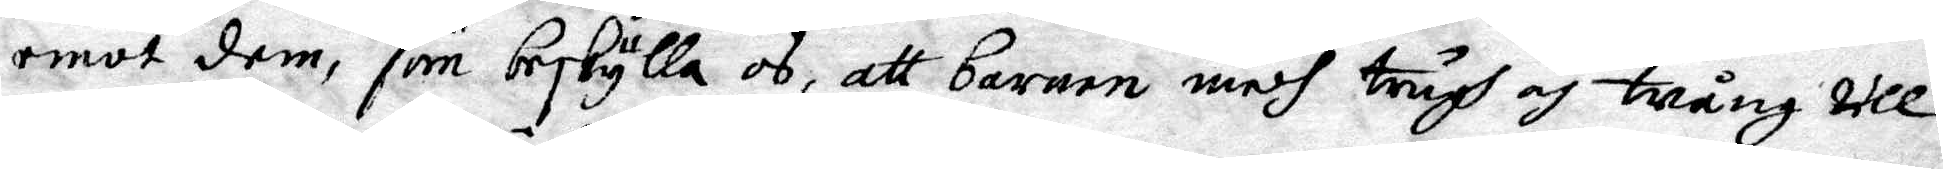emot dem, som beskylla os, att barnen medh trugh och tvång till
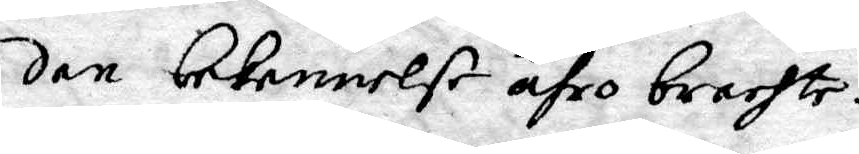den bekennelse ähro brachte.
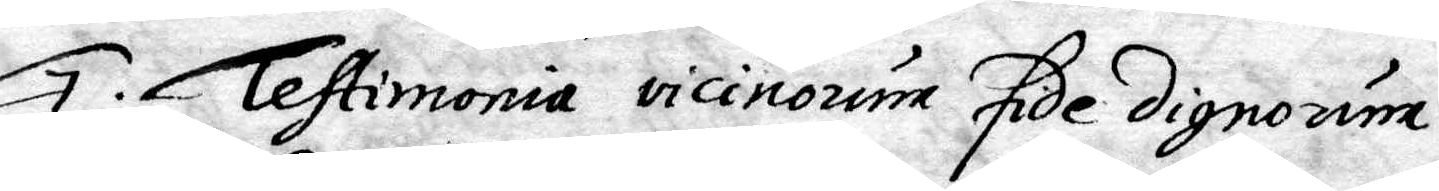7. Testimonia vicinoume fide dignoum.
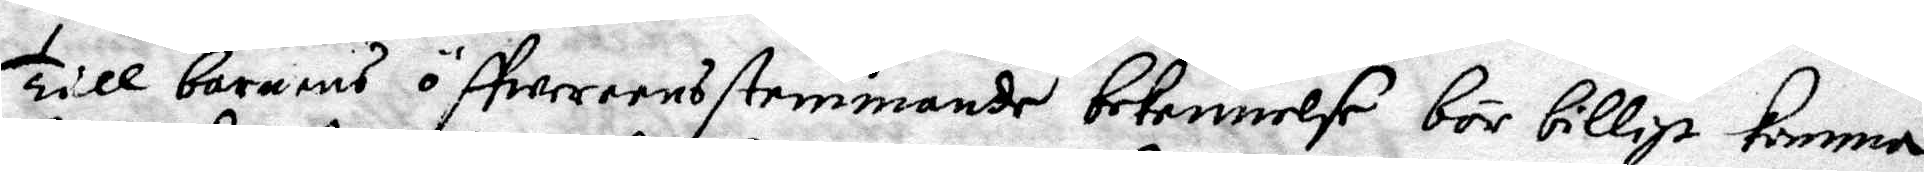Till barnens öffwereensstemmande bekennelse bör billigt komma
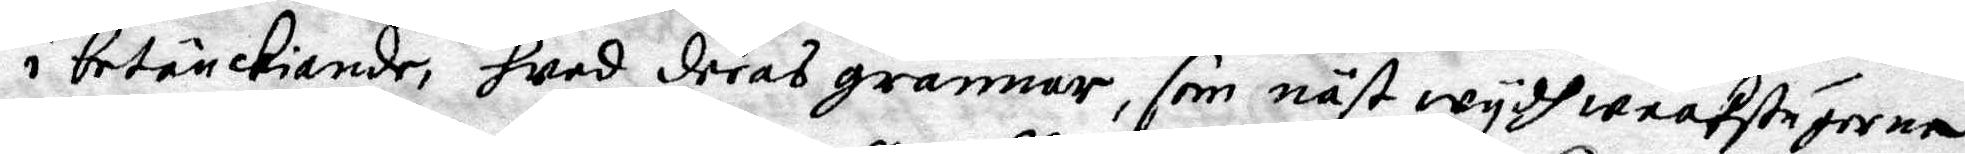i betänckiande, hwad deras grannar, som näst wydh waaktstugorna
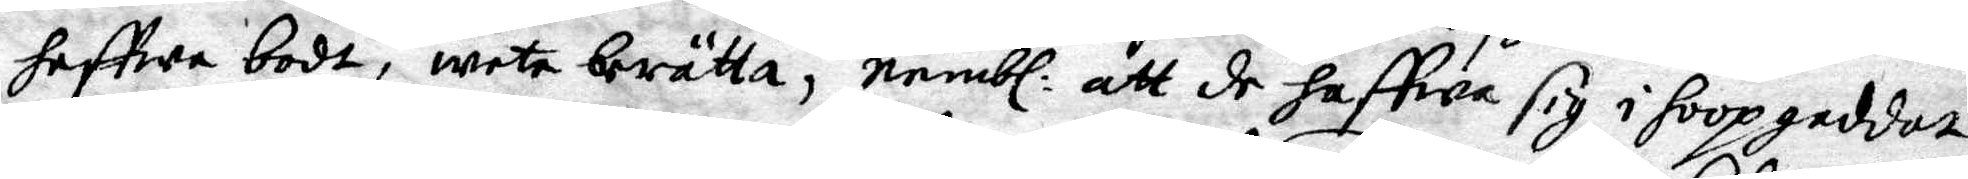haffwe bodt, weta berätta, nembl: att de haffwa sig i hoop gaddat,
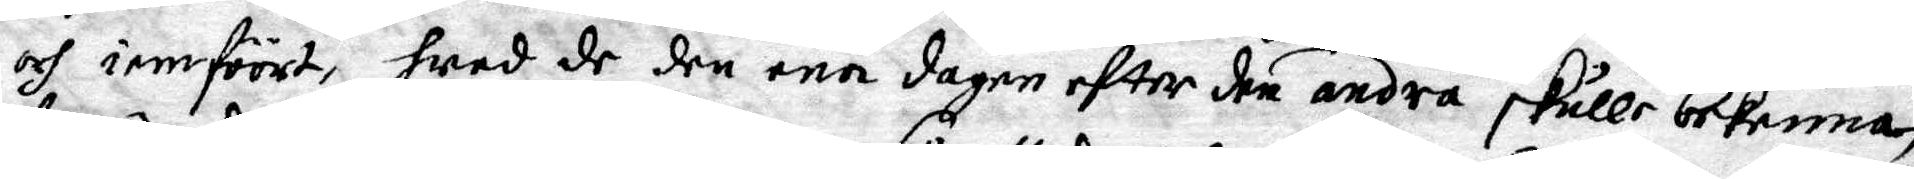och ienföört, hwad de den ena dagen effter den andra skulle bekomma,
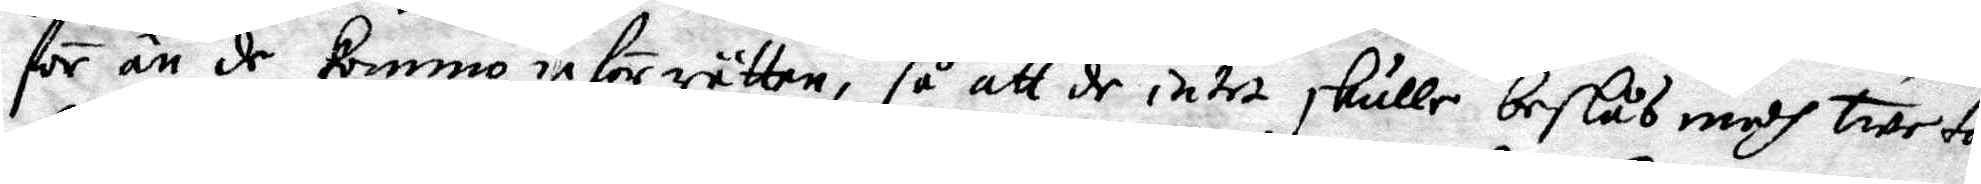för än de kommo inför rätten, så att de intet skulle beslås medh tweta¬
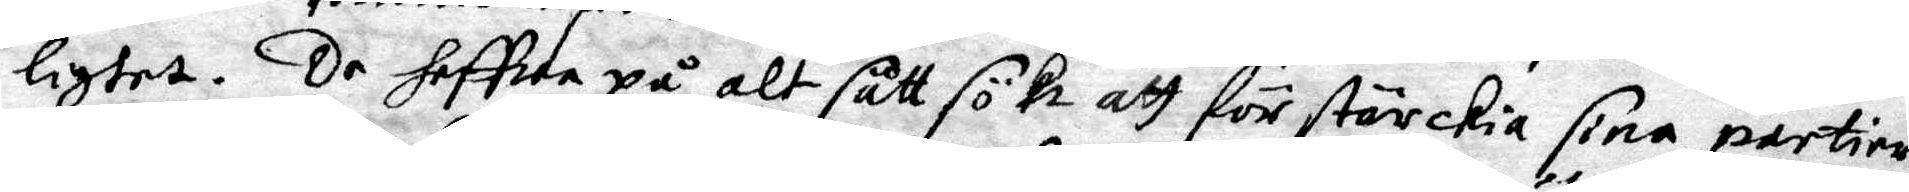lighet. De haffwa på alt sätt sökt att förstärkia sina partier
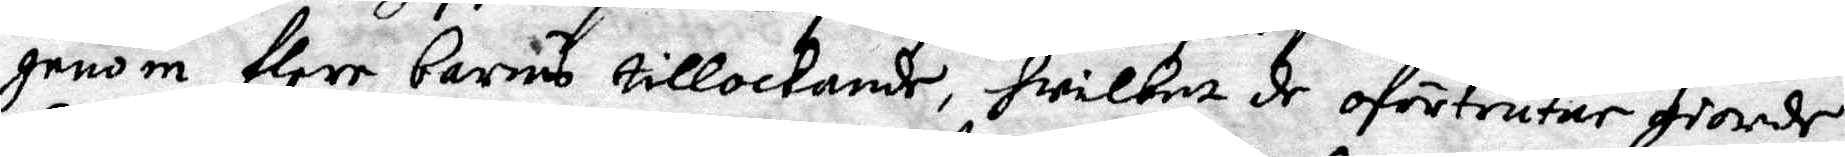genom flere barns tillockande, hwilket de oförtruer giorde,
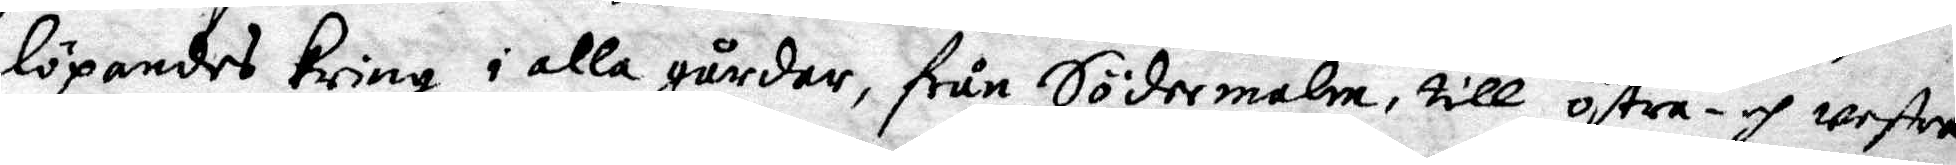löpandes kring i alla gårdar, från Södermalm, till östra- och westra
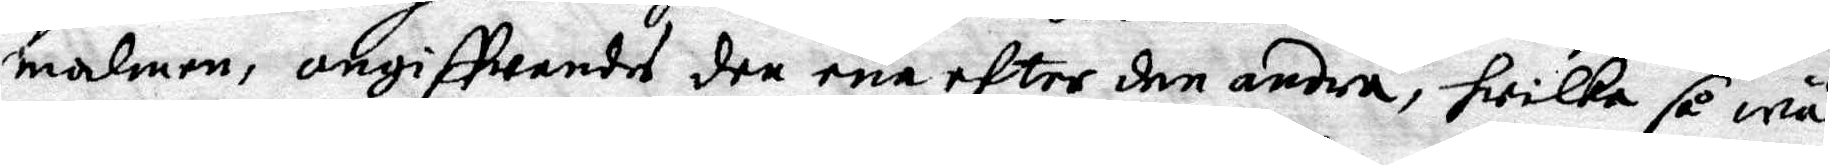malmen, angiffwandes den ena efter den andra, hwilka så wäl
